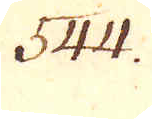544.
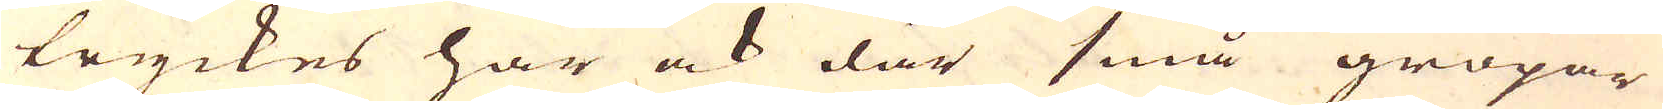tryckes här ock där små gropar
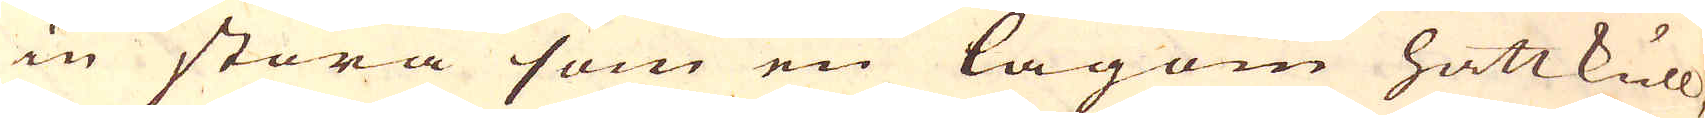in stora som en lagom hattkull,
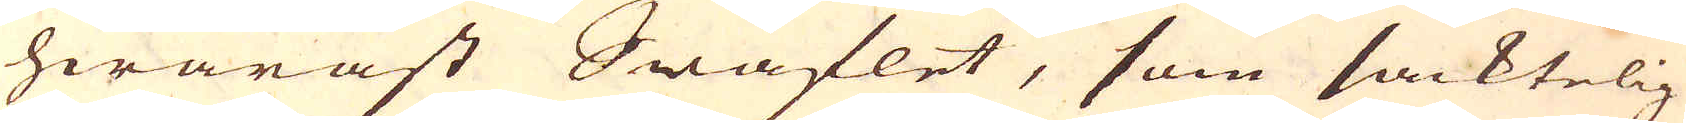hwaräst Swaflet, som sacktelig
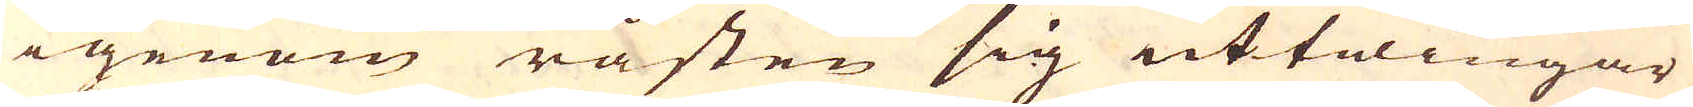igenom råsten sig uttwingar,
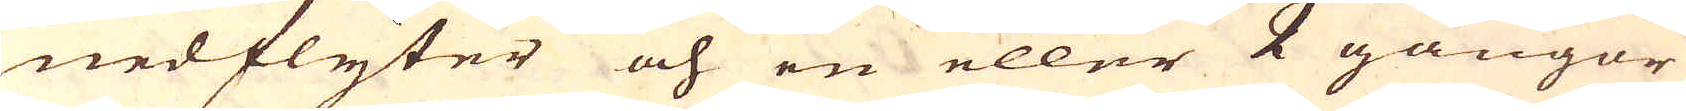nedflyter och en eller 2 gångor
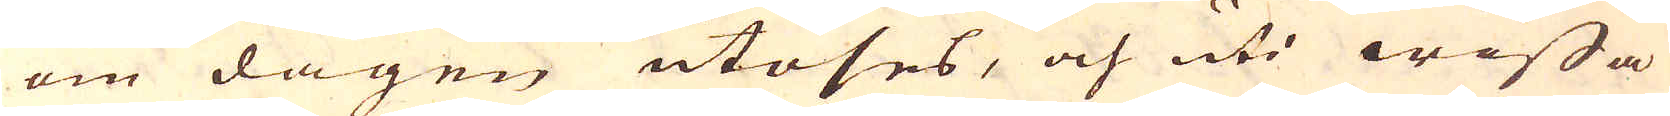om dagen utöses, och uti wissa
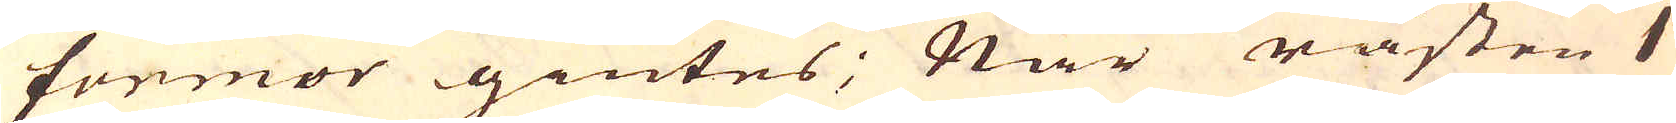formor giutes; När råsten 1
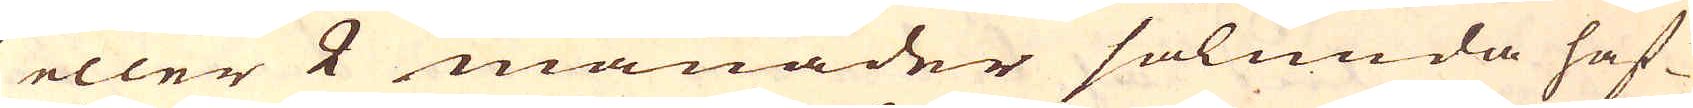eller 2 månader sålunda haf-
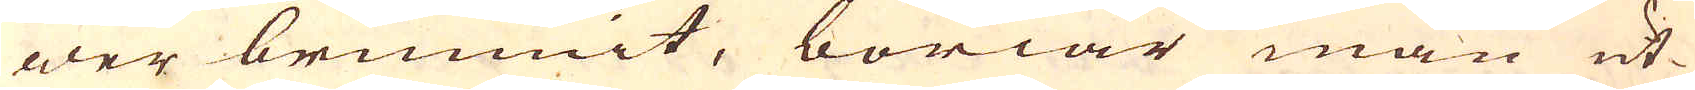wer brunnit, böriar man ut-
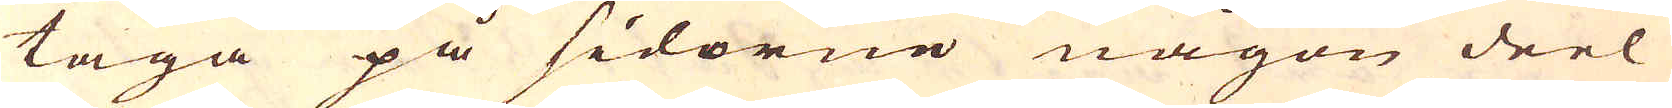taga på sidorne någon deel
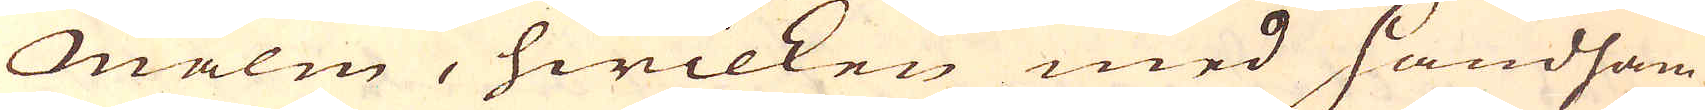Malm, hwilken med Handham-
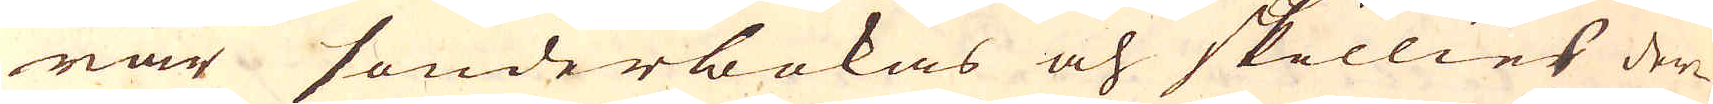rar sönderbokas och skillies der-
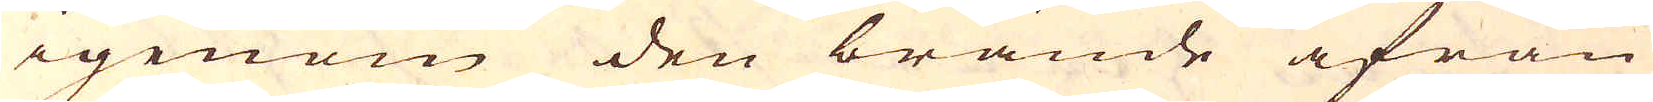igenom den brände ifrån
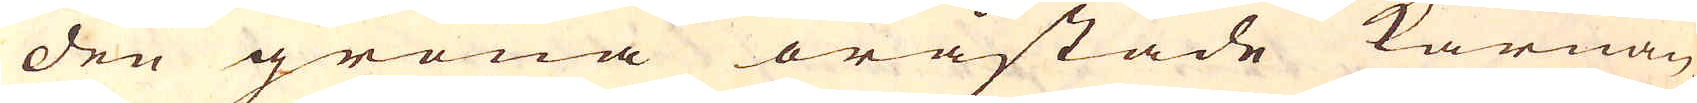den gröna oråstade kärnan,
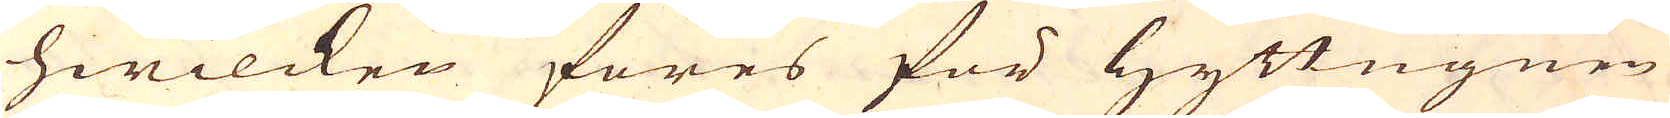hwilcken föres för Hyttugnen
